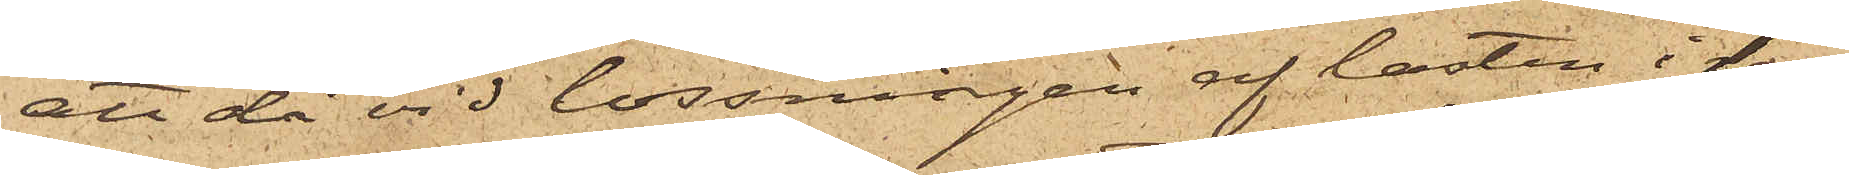att då vid lossningen af lasten i last¬
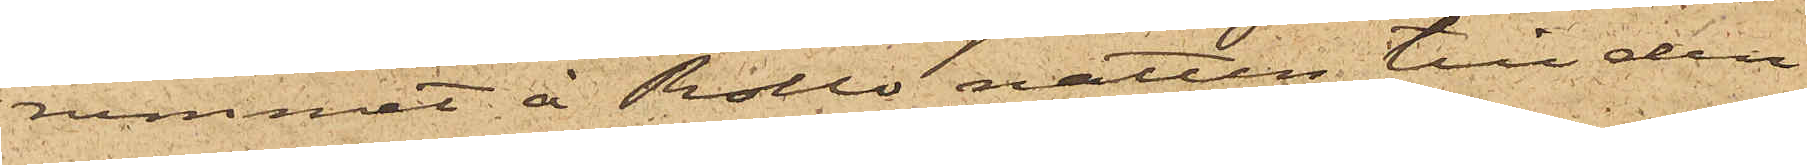rummet å Rollo natten till den
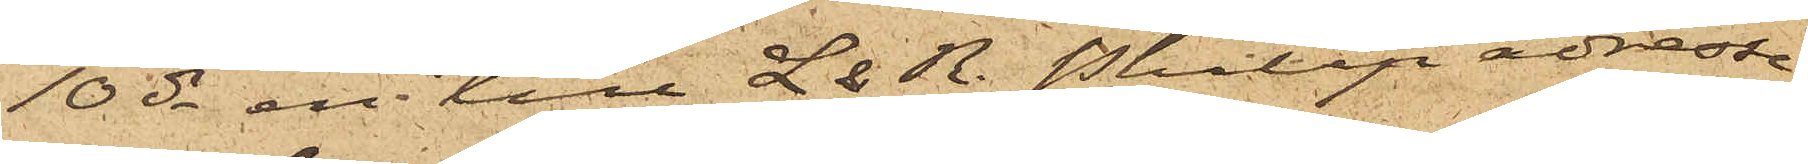10 ds en till L. & R. Philip adresse¬
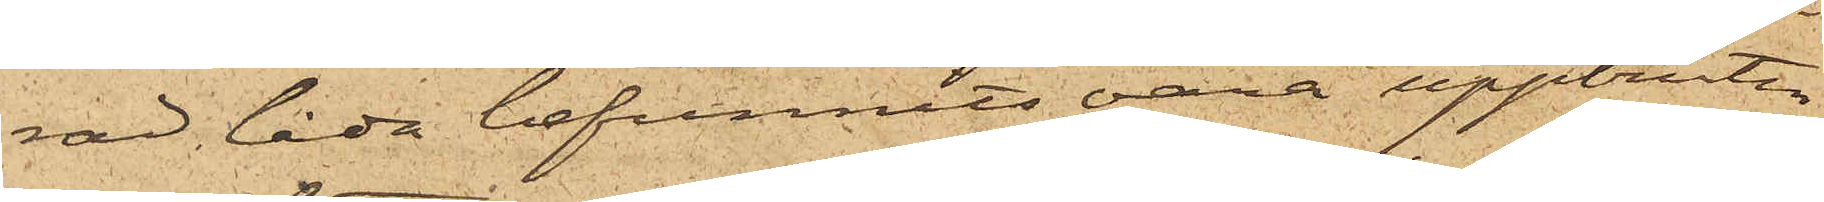rad låda befunnits vara uppbruten
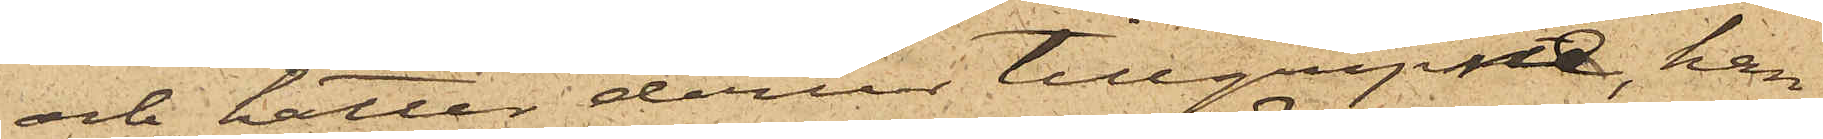och hattar derur tillgripne, han
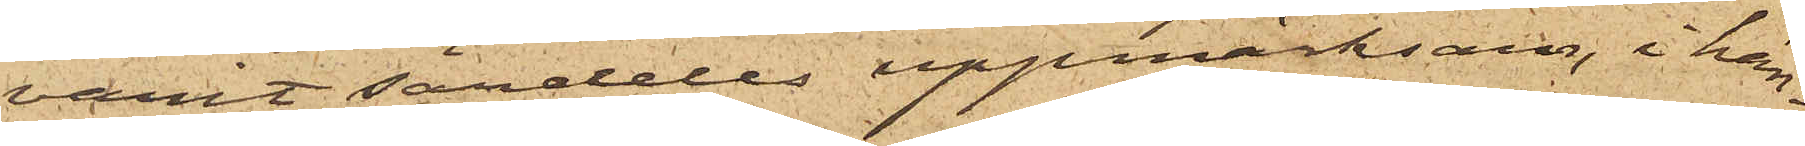varit sändeles uppmärksam, i hän¬
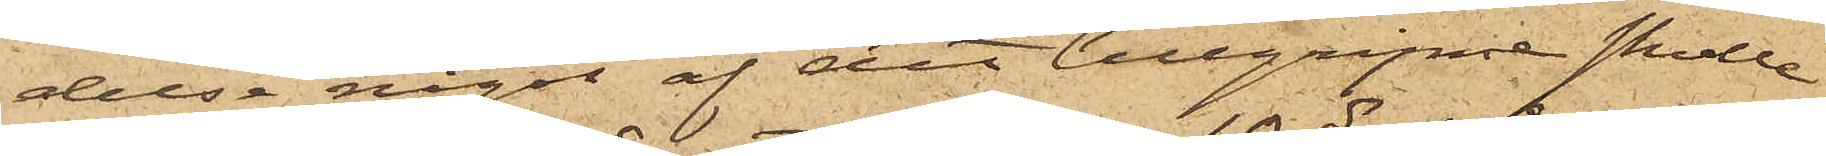delse något af det tillgripne skulle
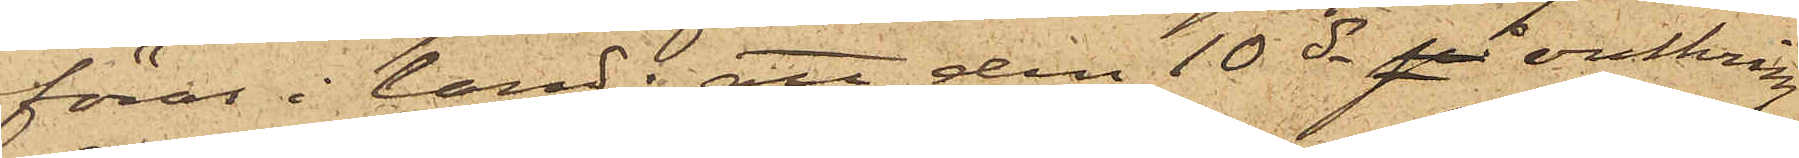föras i land; att den 10 ds på omkring
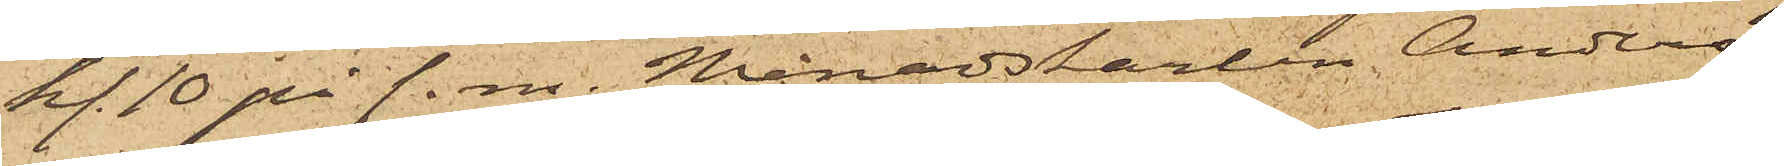kl. 10 på f. m. Månadskarlen Anders¬
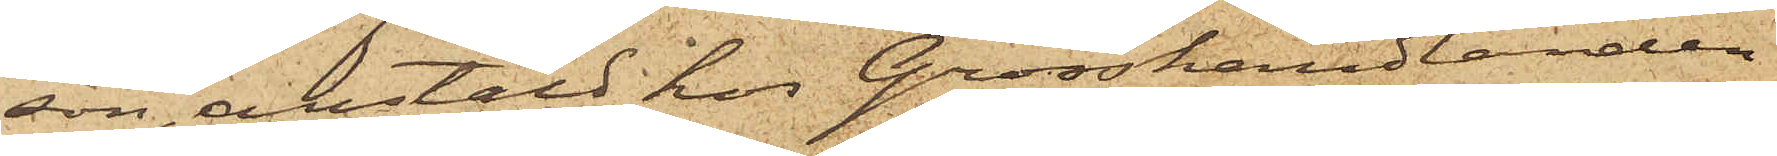son, anstäld hos Grosshandlanden
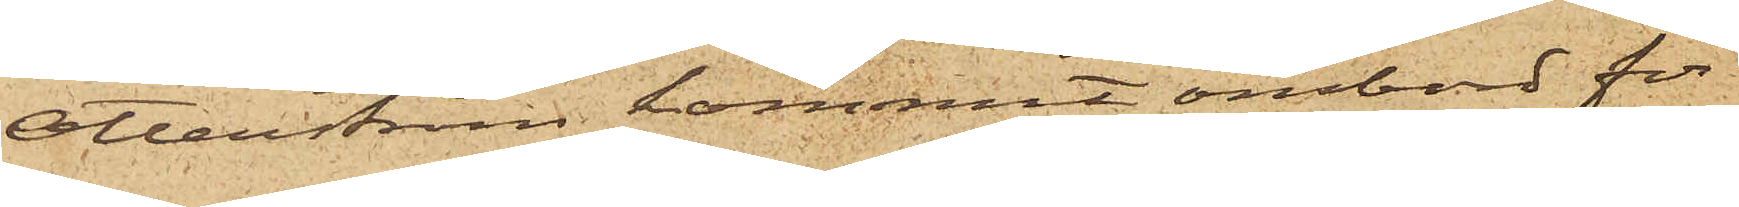Otterström kommit ombord för
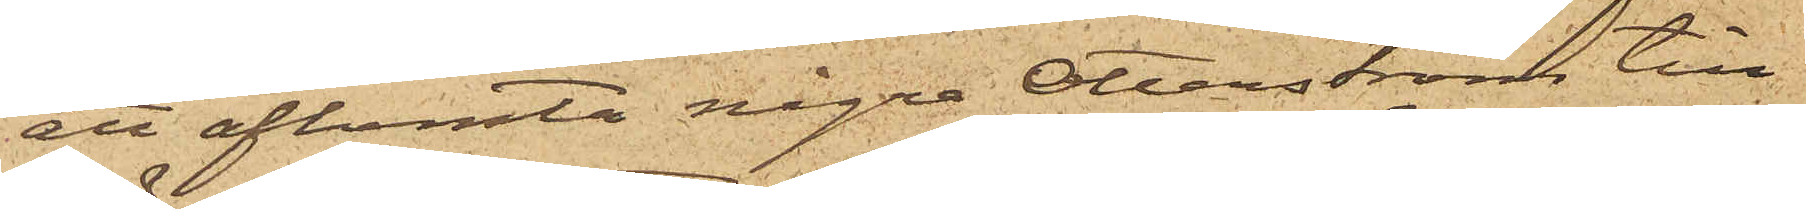ett afhemta några Otterström till¬
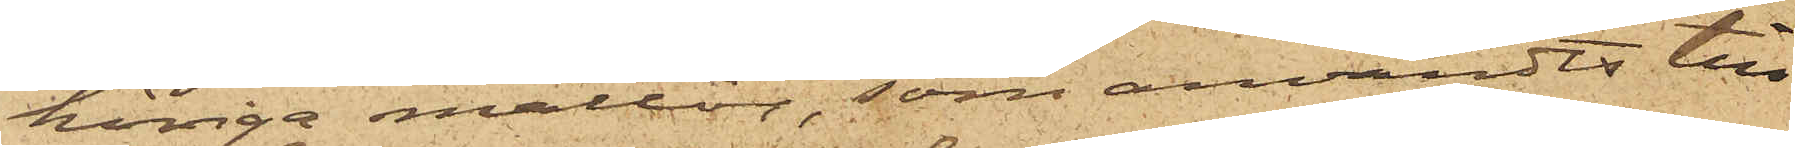höriga mattor, som användts till
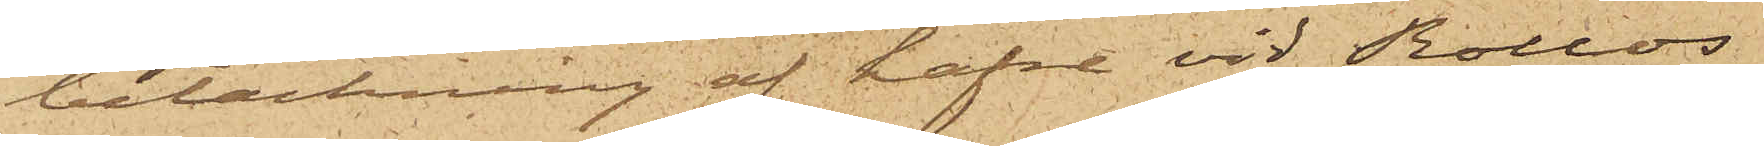betäckning af hafre vid Rollos
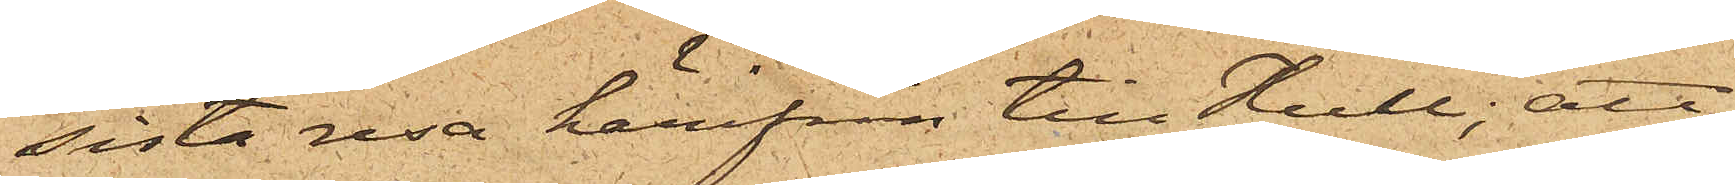sista resa härifrån till Hull; att
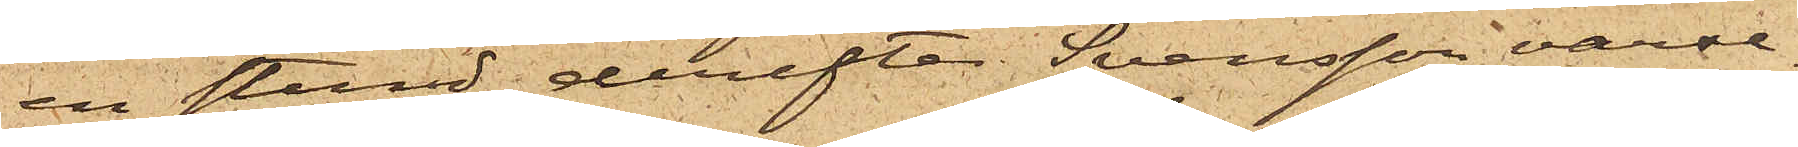en stund derefter Svensson varse¬
